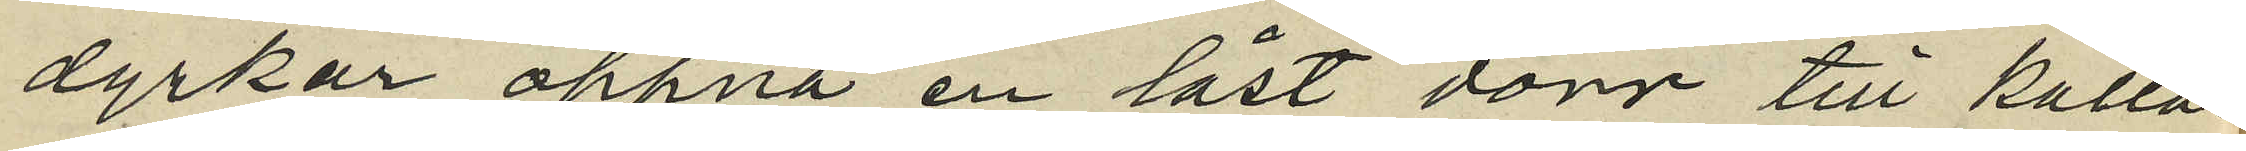dyrkar öppna en låst dörr till källar¬
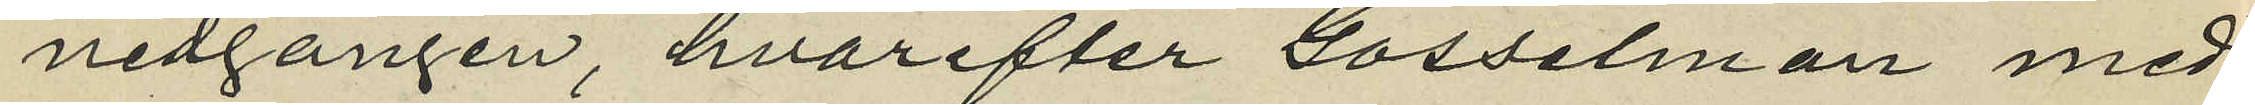nedgången, hvarefter Gosselman med
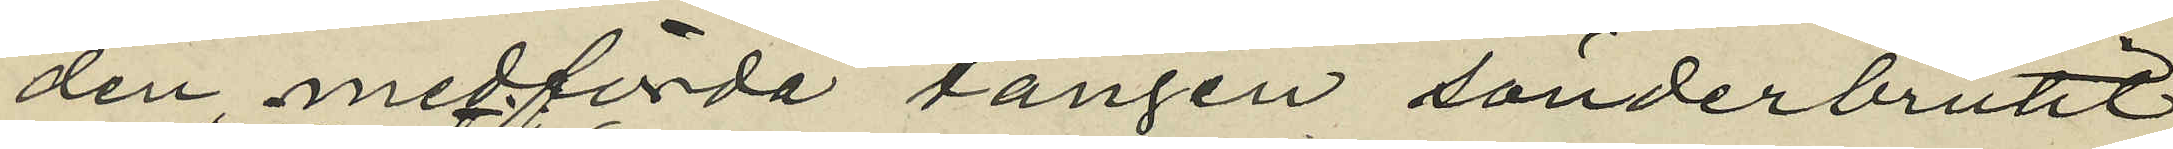den medförda tången sönderbrutit
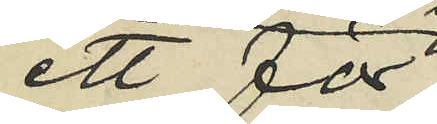ett för
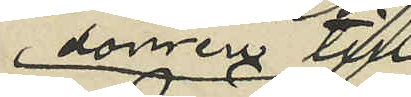dörrer till
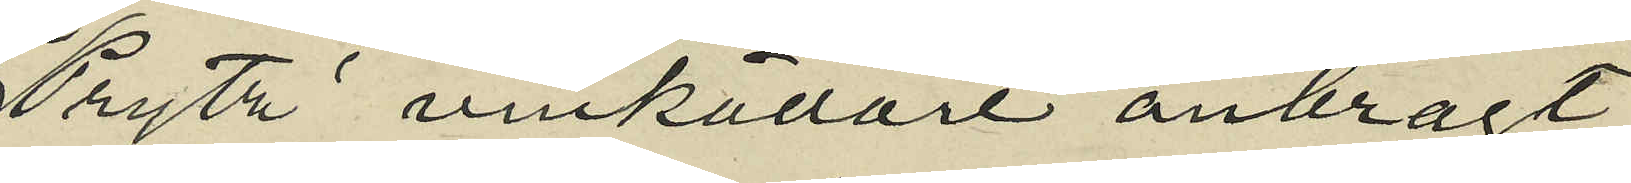Prytz' vinkällare anbragt
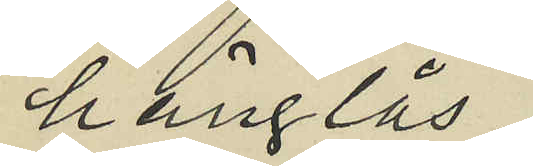hänglås
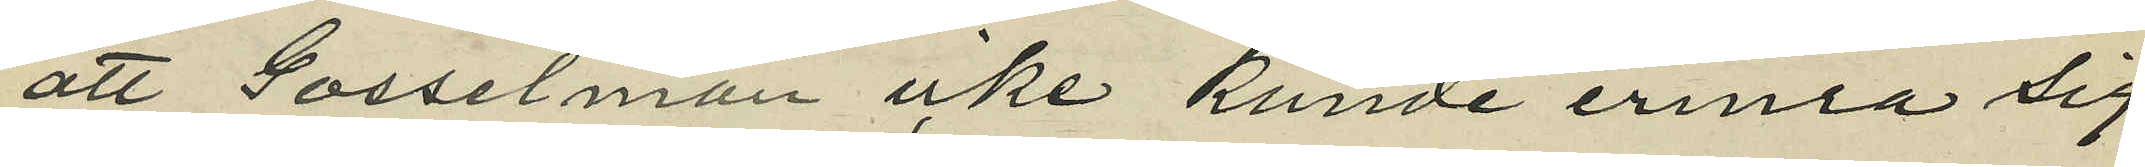att Gosselman icke kunde erinra sig
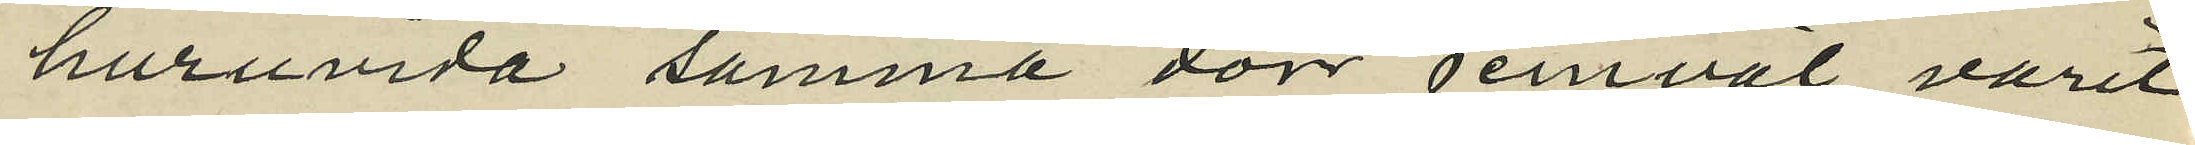huruvida samma dörr jemväl varit
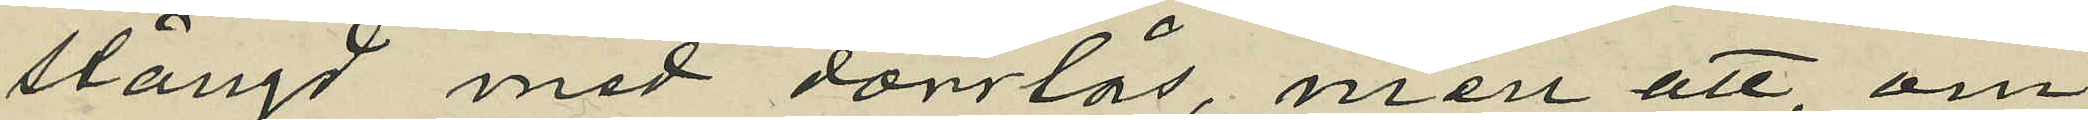stängd med dörrlås, men att, om
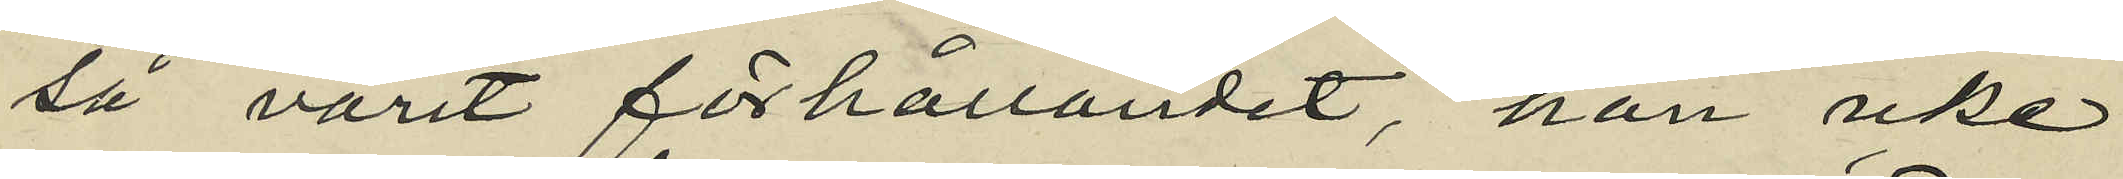så varit förhållandet, han icke
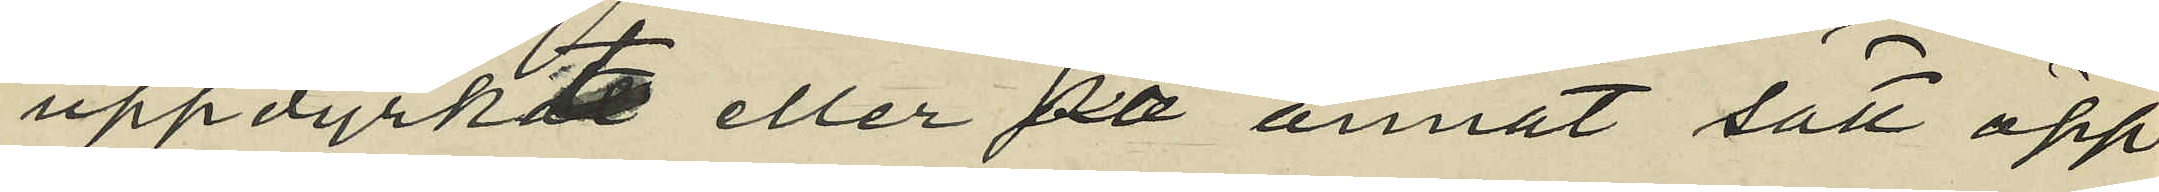uppdyrkte eller på annat sätt öpp¬
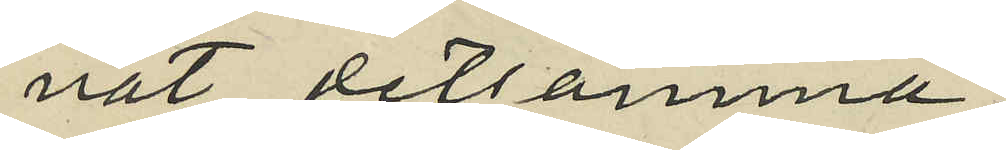nat detsamma.
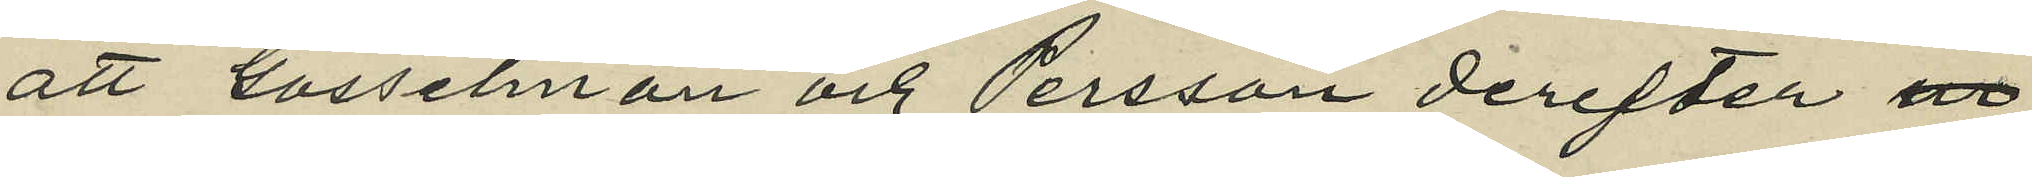att Gosselman och Persson derefter ur
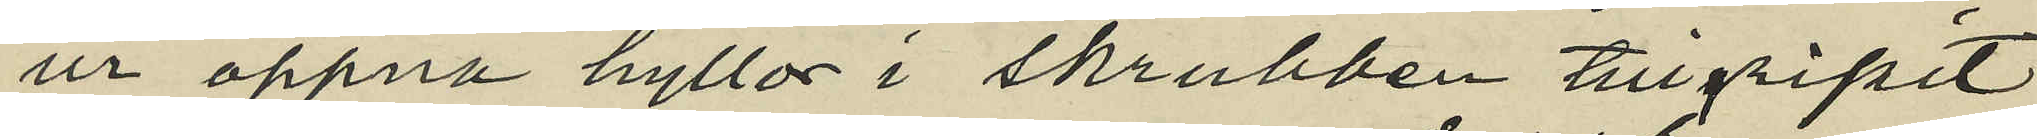ur öppna hyllor i skrubben tillgripit
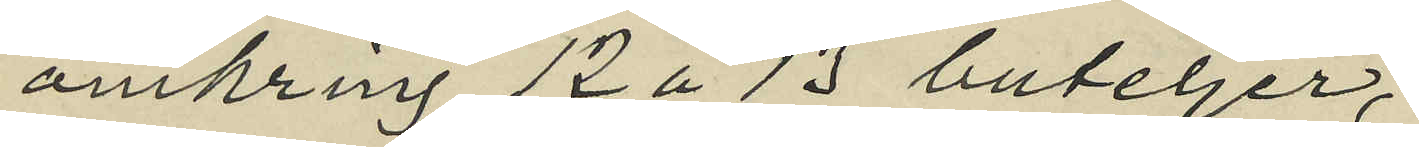omkring 12 á 13 buteljer,
